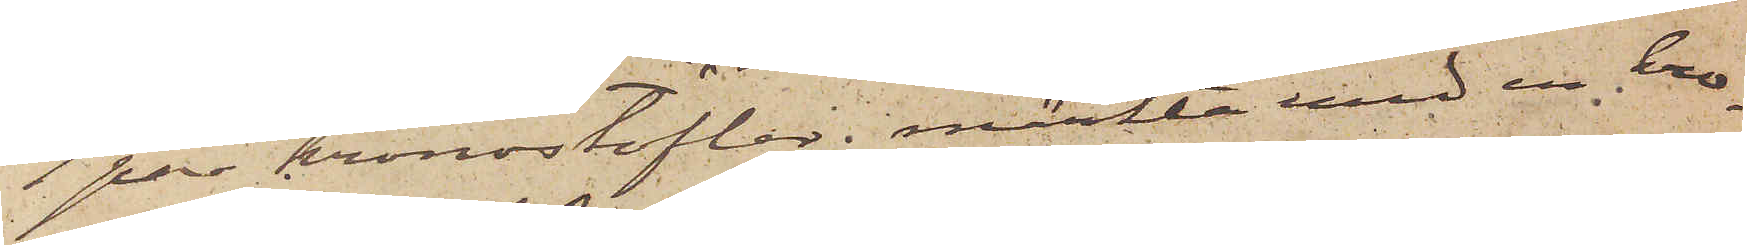1 par kronostöflar, märkta med en kro¬
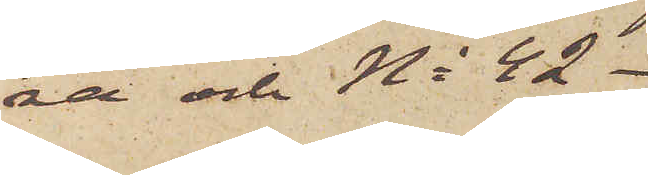na och No 42.
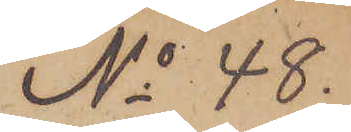No 48.
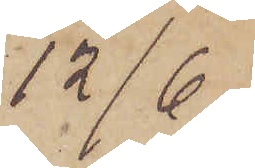12/6.
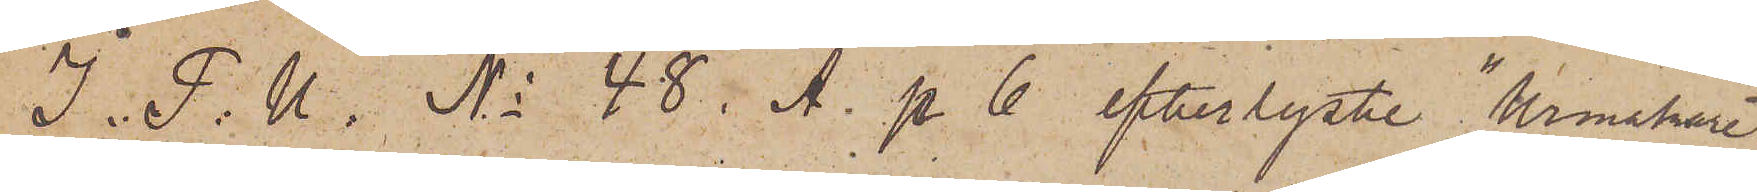I. P. U. No 48. i A. p 6 efterlyste "Urmakare¬
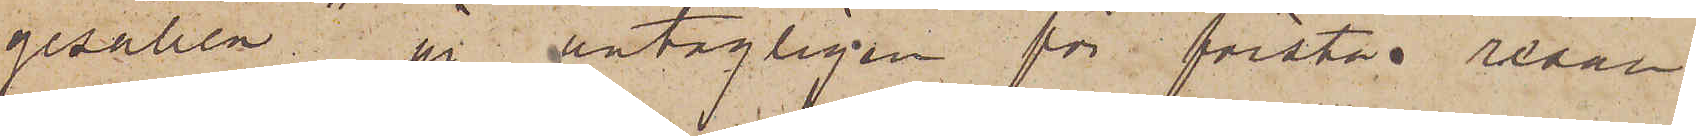gesällen" är antagligen för första resan
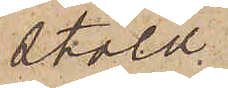stöld
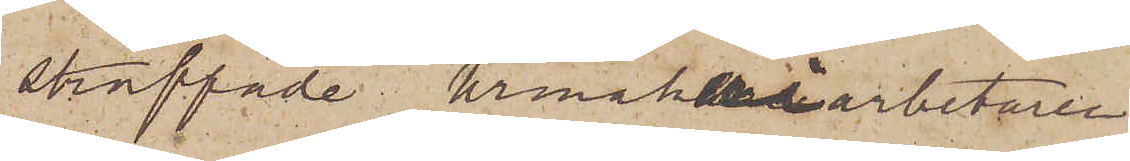straffade Urmakeriarbetaren
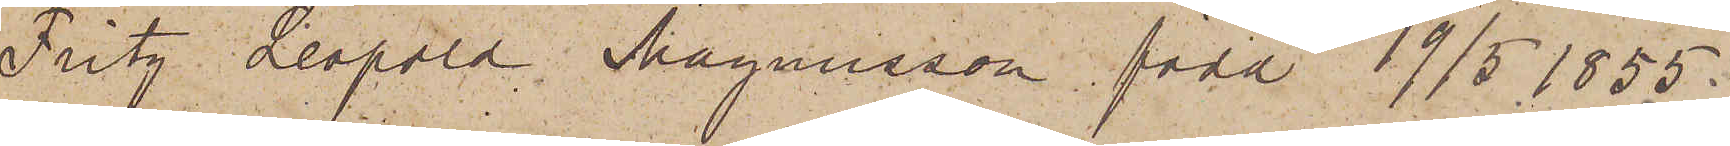Fritz Leopold Magnusson, född 19/5 1855
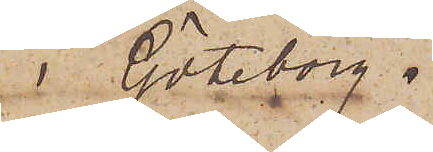i Göteborg.
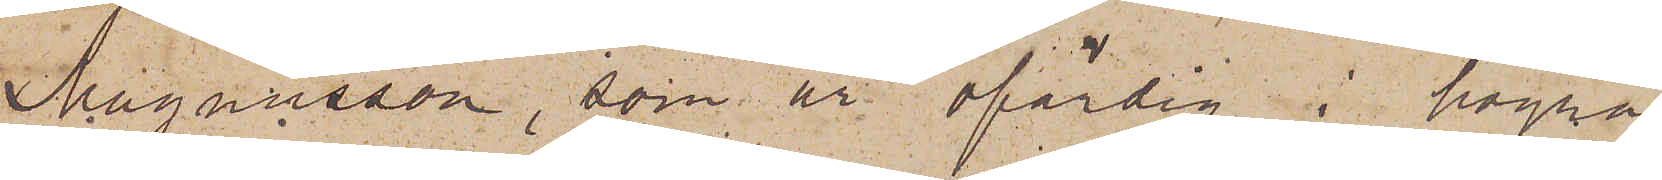Magnusson, som är ofärdig i högra
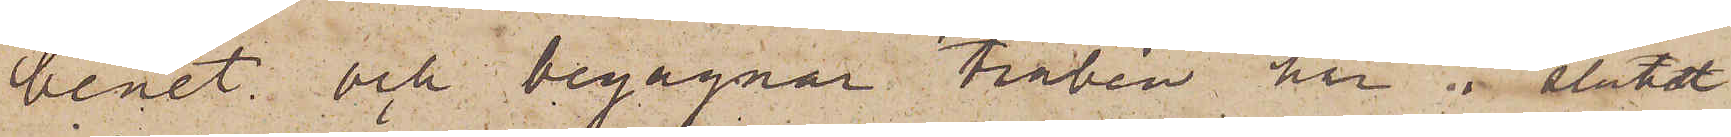benet och begagnar träben har i slutet
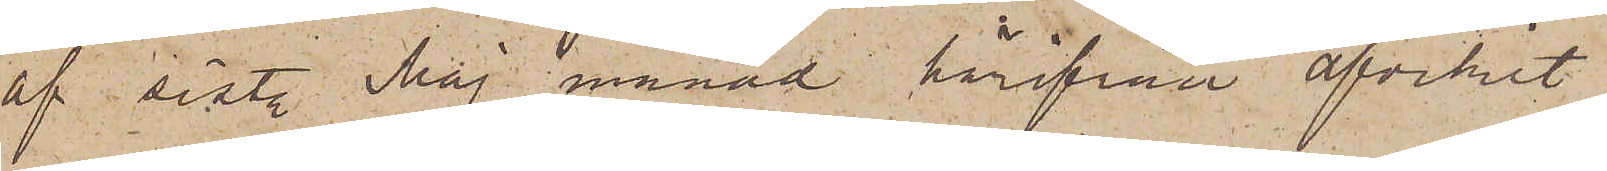af sist. Maj månad härifrån afvikit
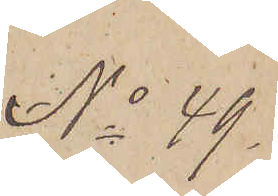No 49.
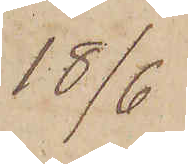18/6
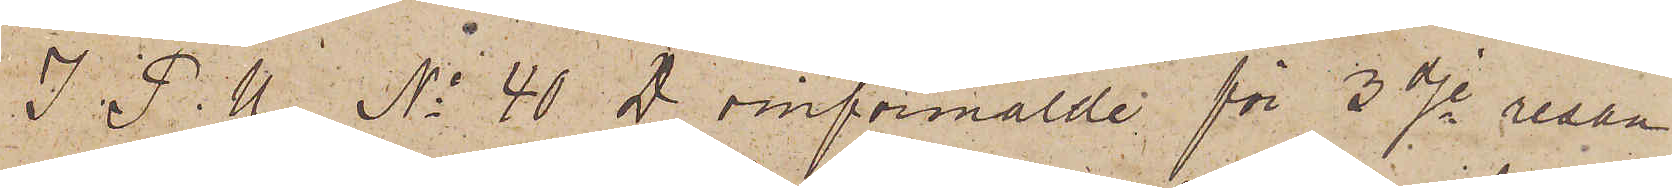I P. U. No 40 D omförmälde för 3dje resan
